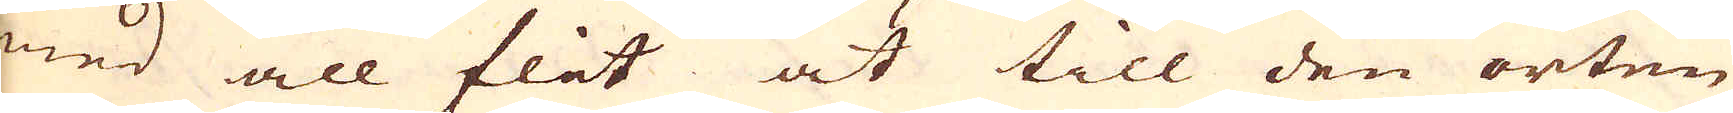med all flit at till den orten
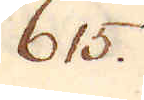615.
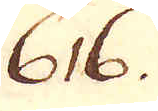616.
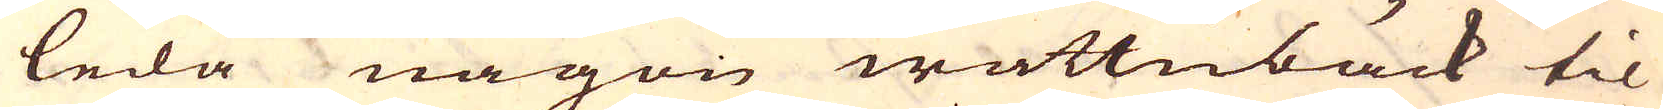leda någon wattnbäck til
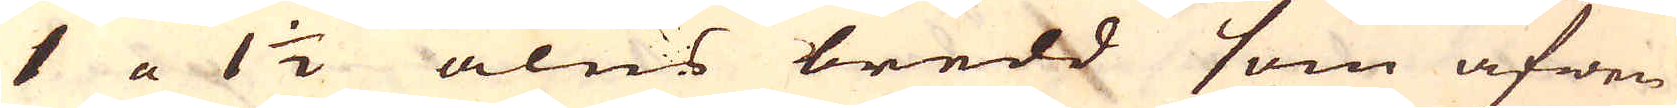1 a 1 1/2 alns bredd som äfwen
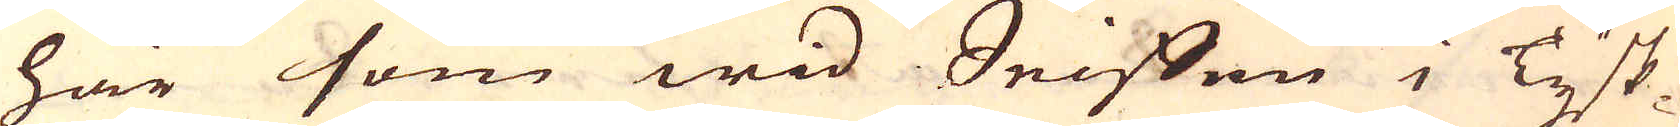här som wid Seiffen i Tysk-
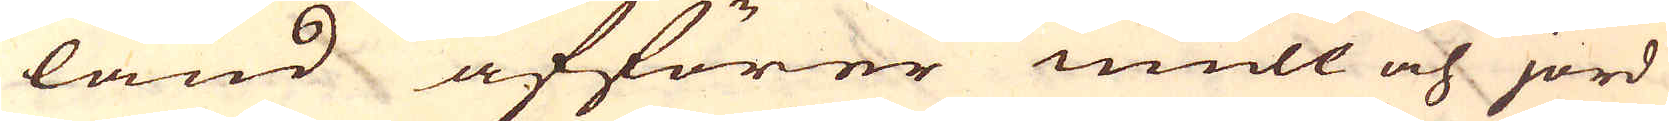land afförer mull och jord
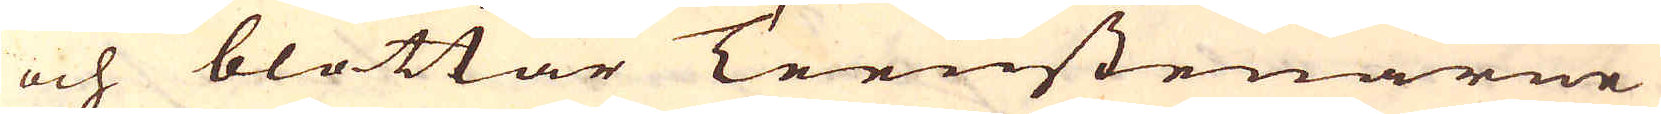och blottar Teenstenarne
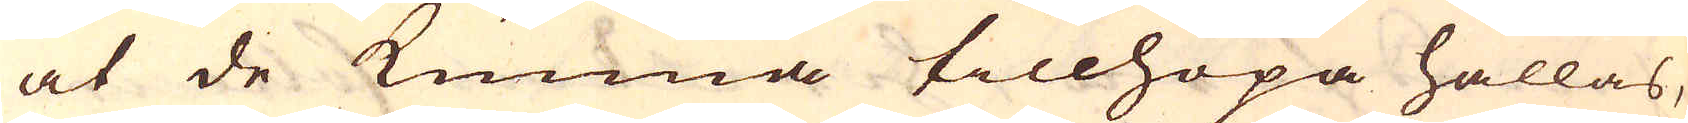at de kunna tillhopa hållas,
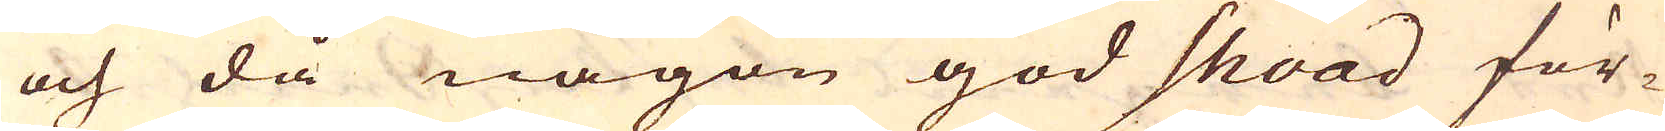och då någon god shoad för-
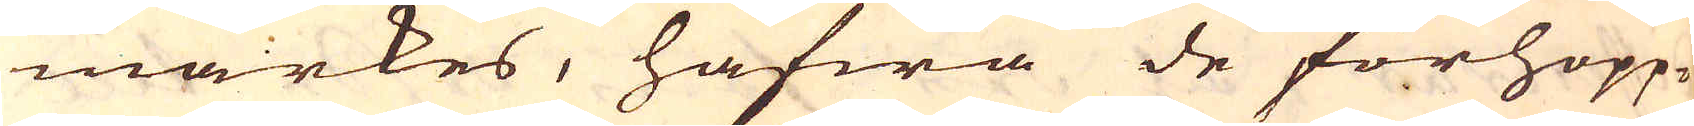märkes, hafwa de förhopp-
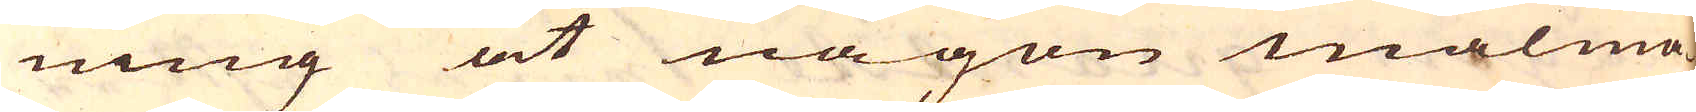ning at någon malmå-
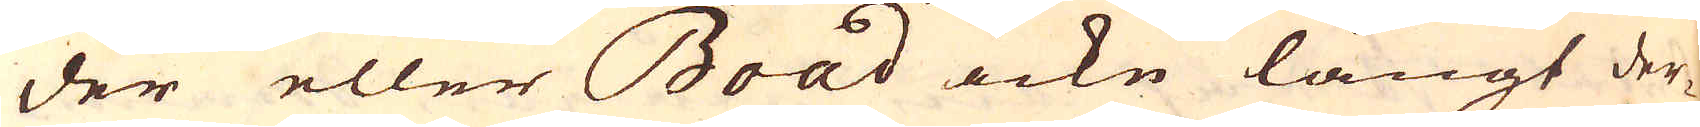der eller Boad icke långt der-
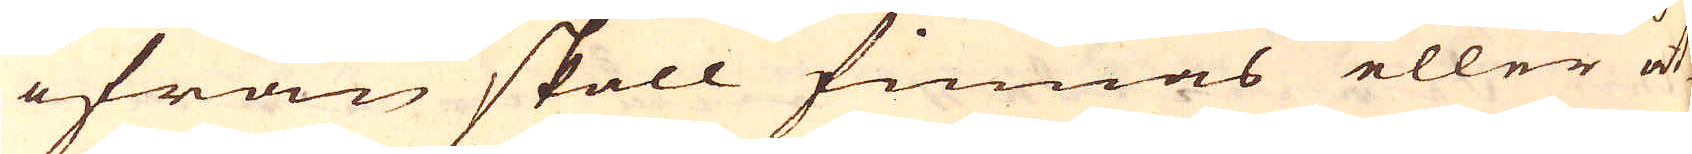ifrån skall finnas eller åt-
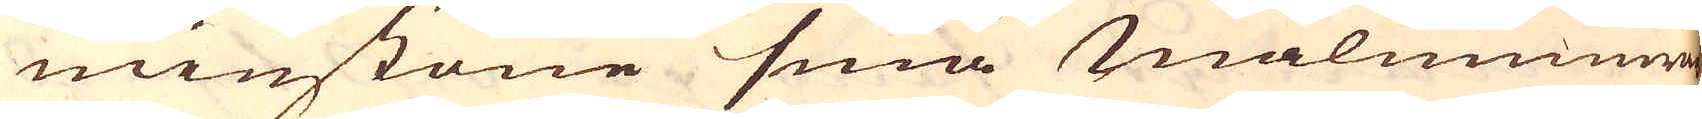minstone små malmmunnar
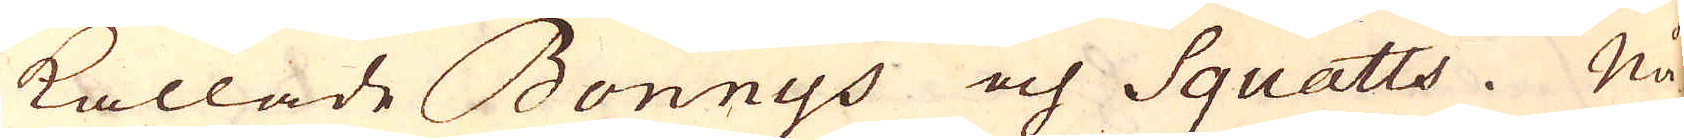kallade Bonnys och Squatts. Nå-
